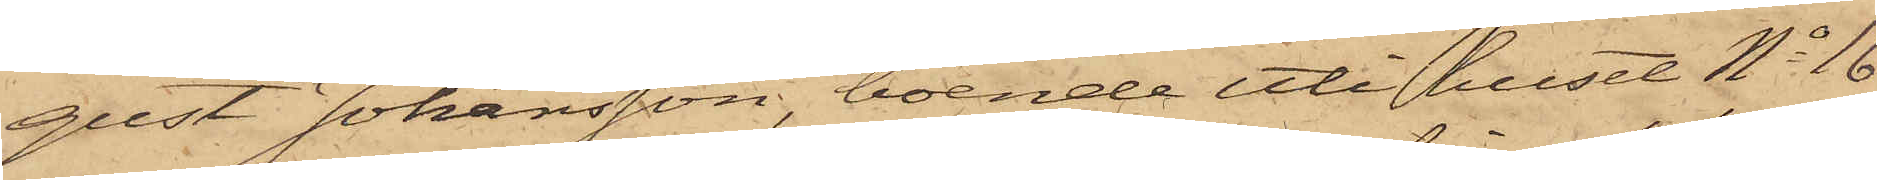gust Johansson, boende uti huset No 16
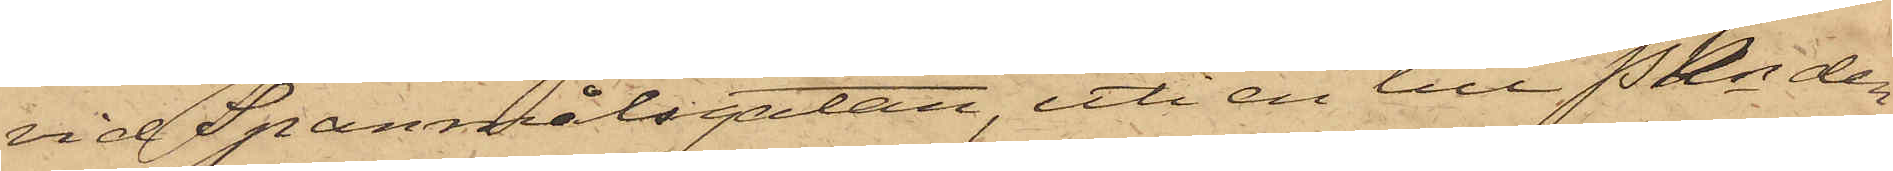vid Spanmålsgatan, uti en till Pkn den
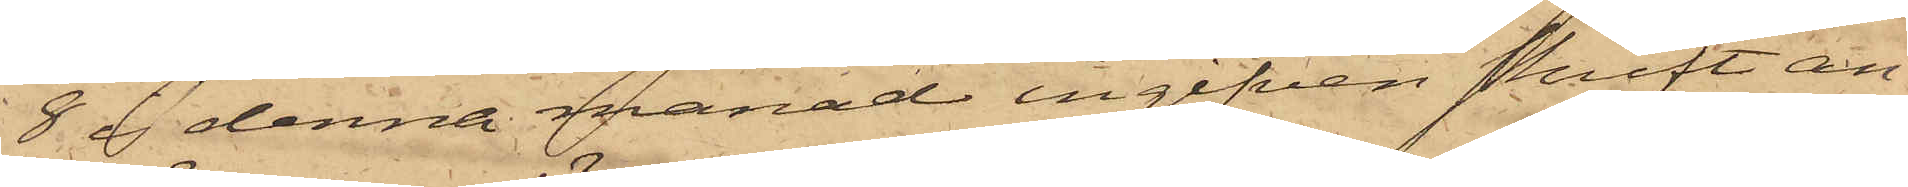8 i denna månad ingifven skrift an¬
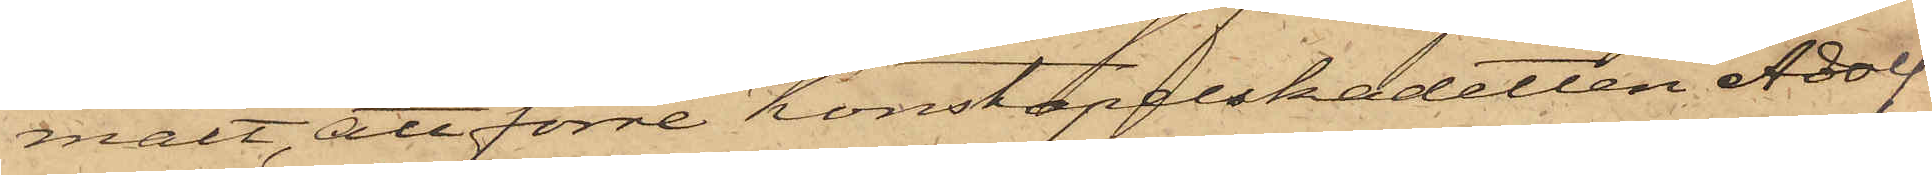mält, att förre Konstapelskadetten Adolf
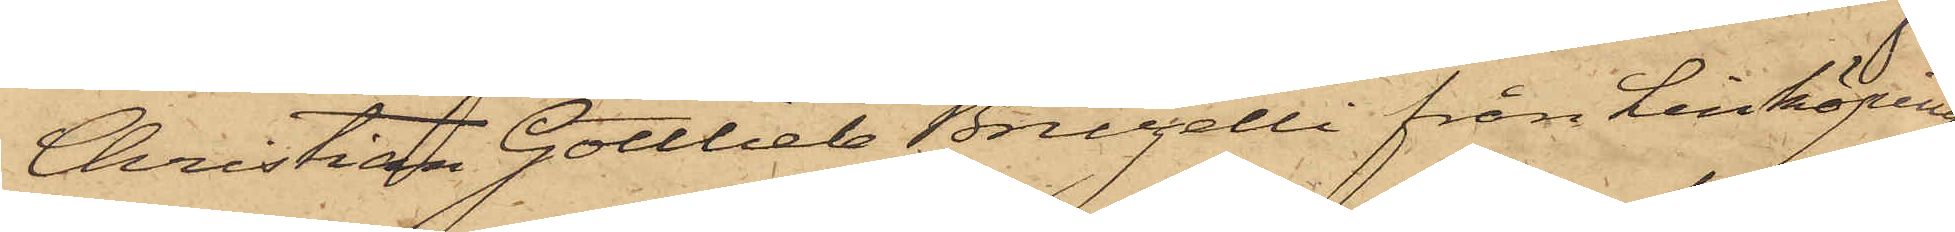Christian Gottlieb Bruzelli från Linköping,
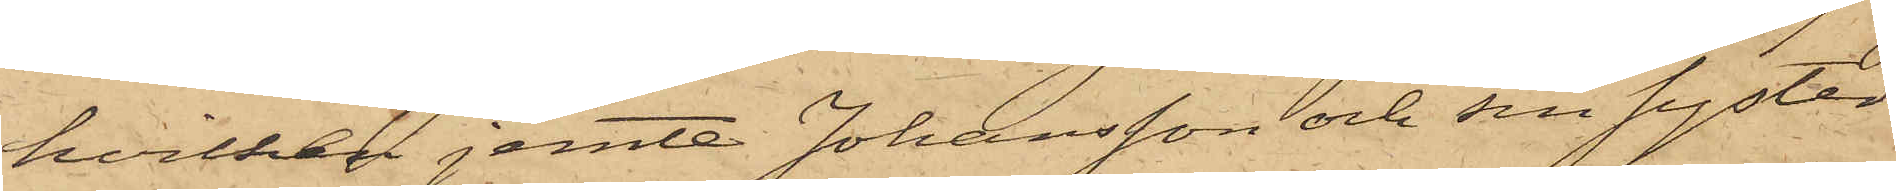hvilken jemte Johansson och sin syster
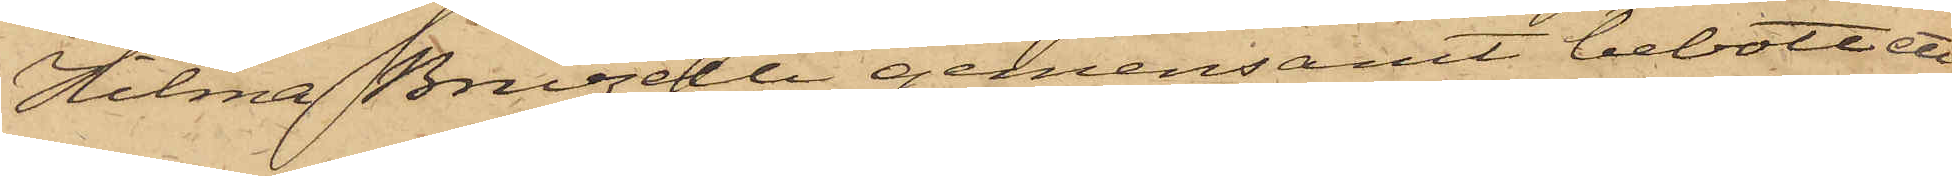Hilma Bruzelli gemensamt bebott ett
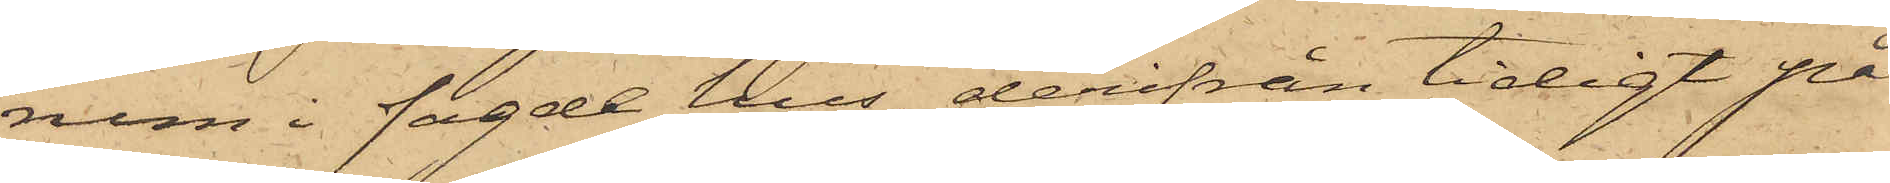rum i sagde hus, derifrån tidigt på
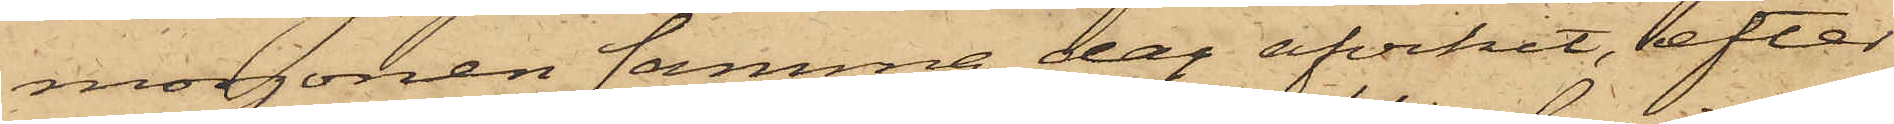morgonen samma dag afvikit, efter
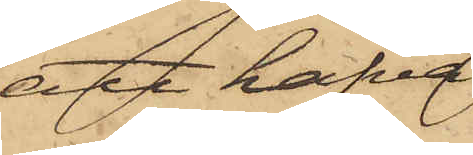att hafva
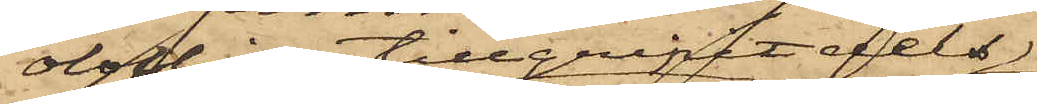olofligen tillgripit dels
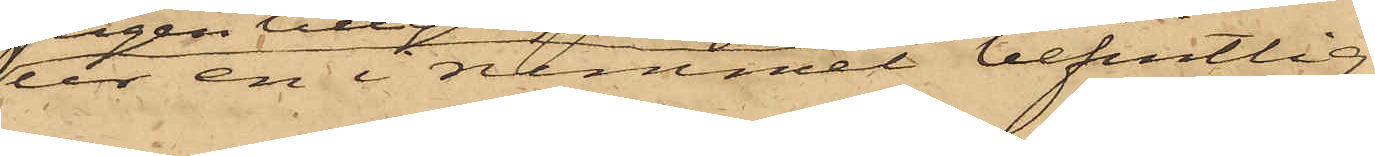ur en rummet befintlig
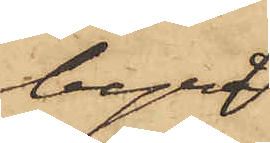byrå
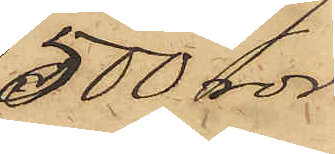500 rdr
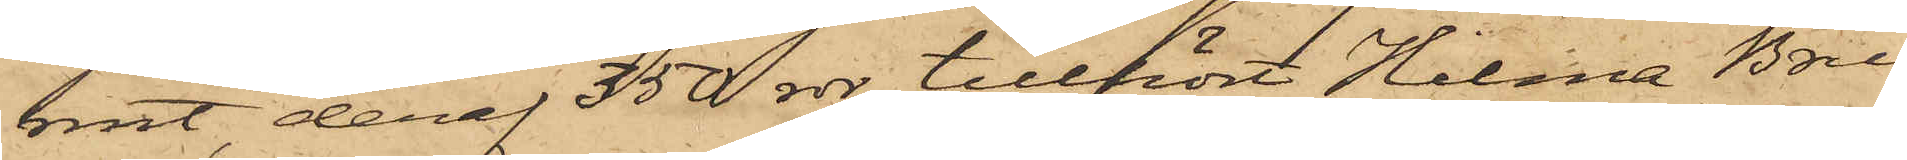rmt, deraf 350 rdr tillhört Hilma Bru¬
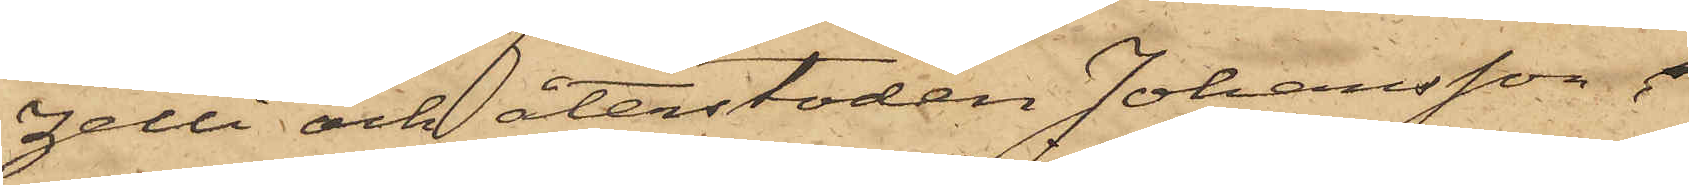zelli och återstoden Johansson,
